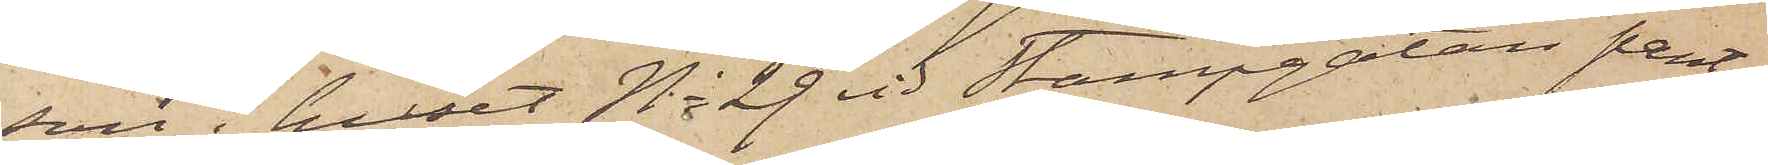son i huset No 29 vid Stampgatan pant¬
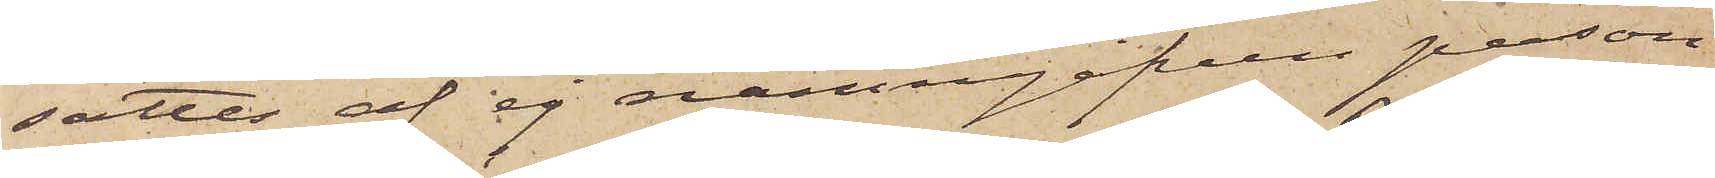sattes af ej namngifven person
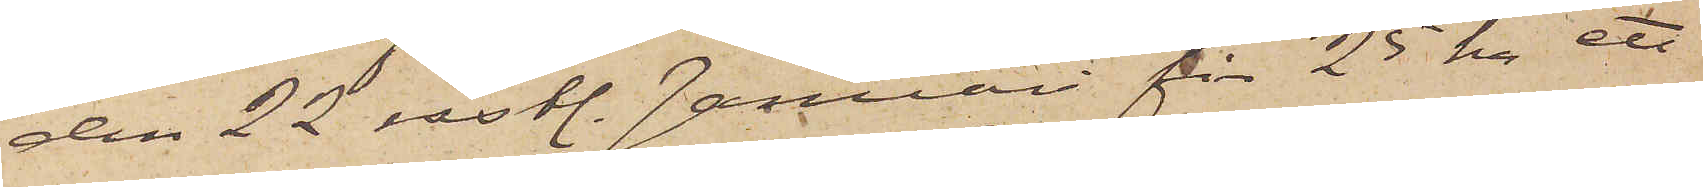den 22 sistl. Januari för 25 kr ett
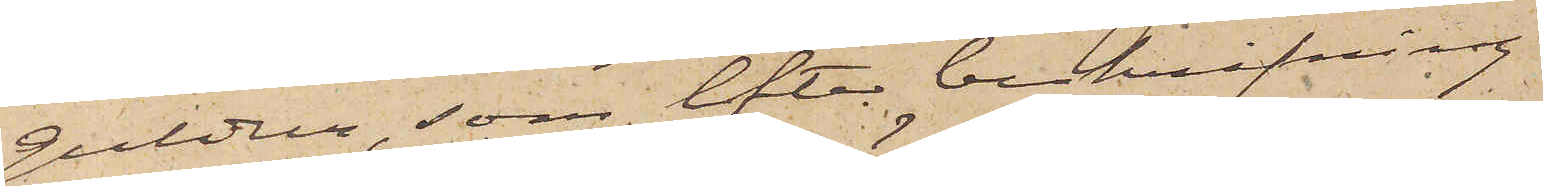guldur, som efter beskrifning
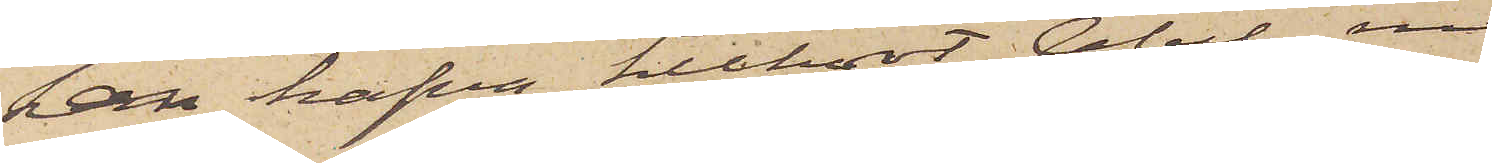kan hafva tillhört Abel, men
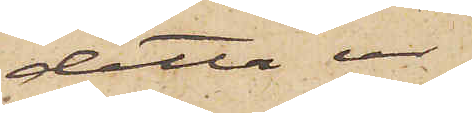detta ur
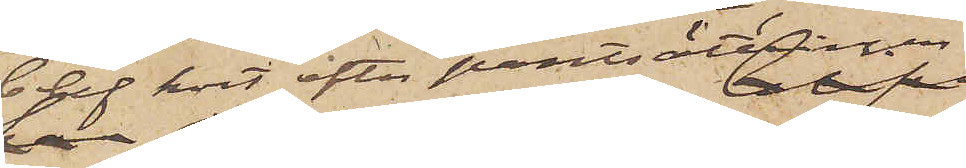blef kort efter pantsättningen
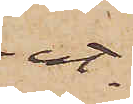ut¬
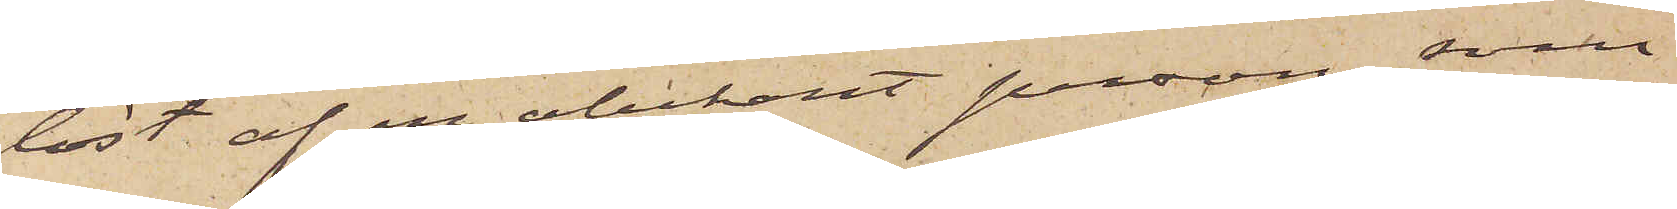löst af en obekant person, som
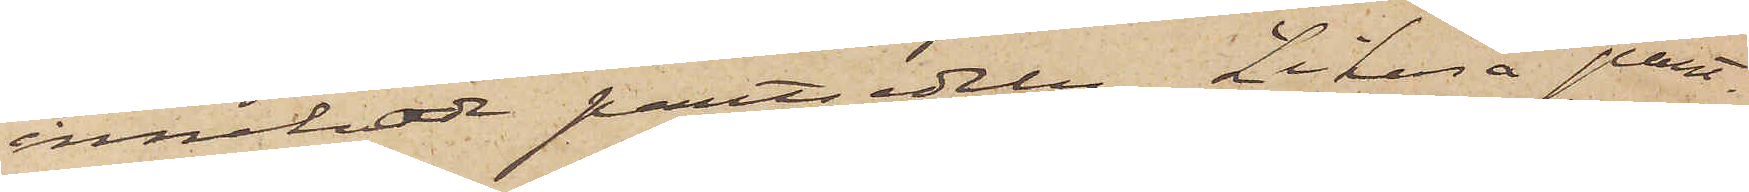innehade pantsedeln. Likaså pant¬
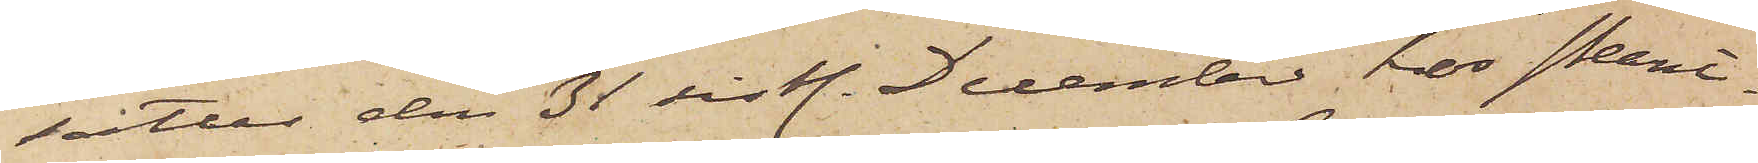sattes den 31 sistl. December, hos Pant¬
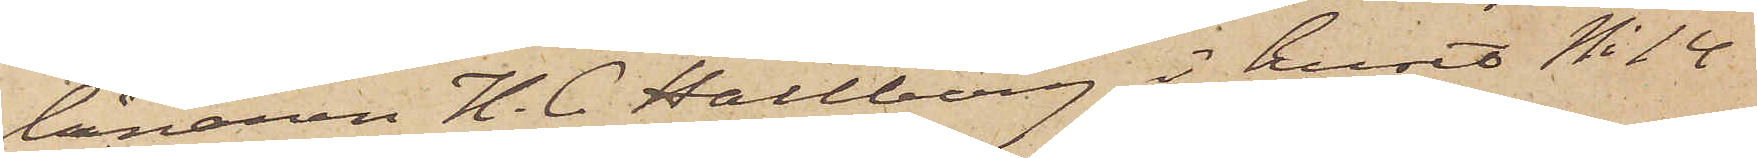lånaren H. C. Hallberg i huset No 14
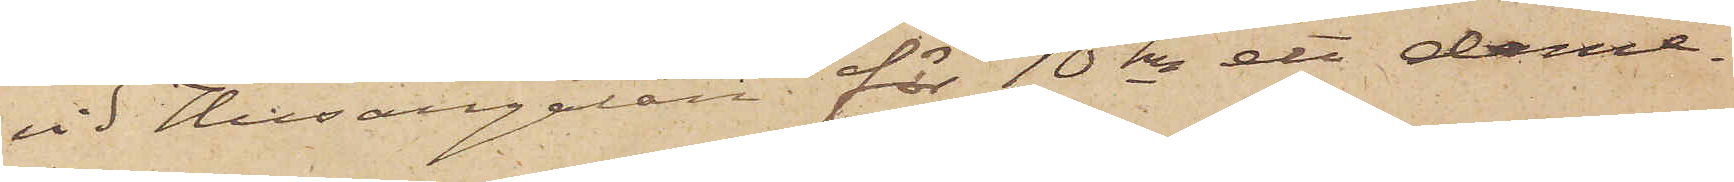vid Husargatan för 10 kr ett dame¬
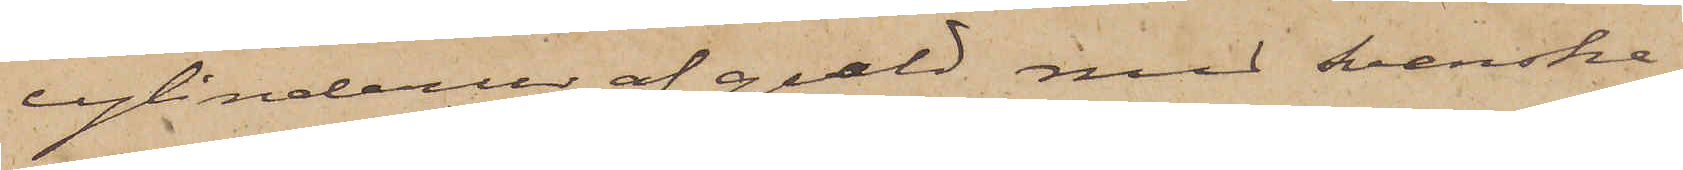cylinderur af guld med Svenska
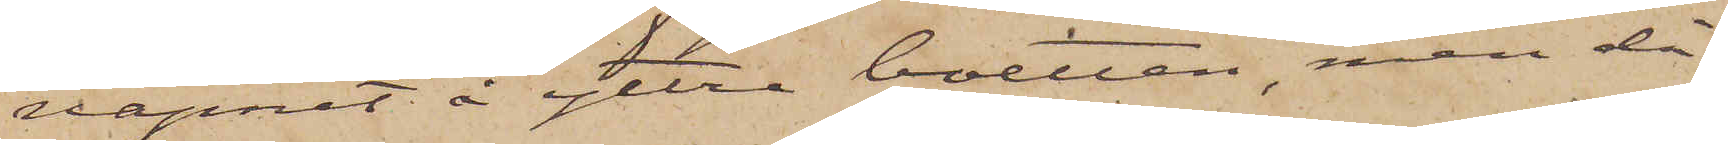vapnet å yttre botten, men då
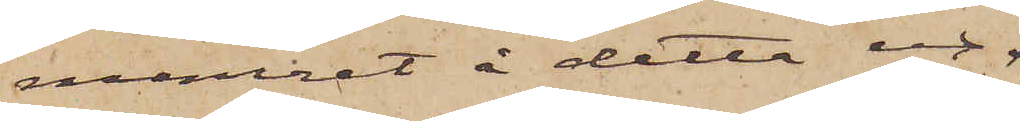numret å detta ur
